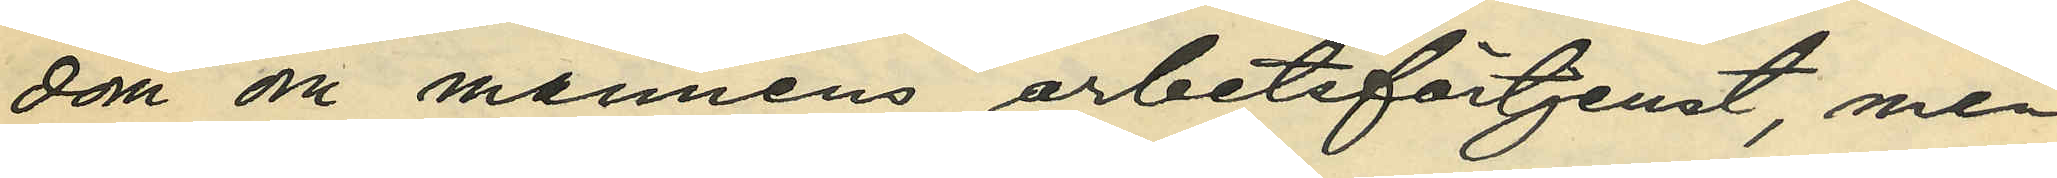dom om mannens arbetsförtjenst, men
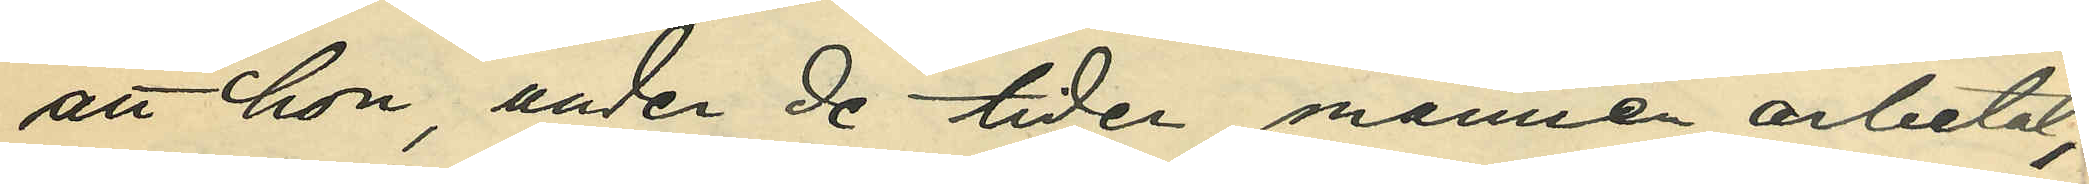att hon, under de tider, mannen arbetat,
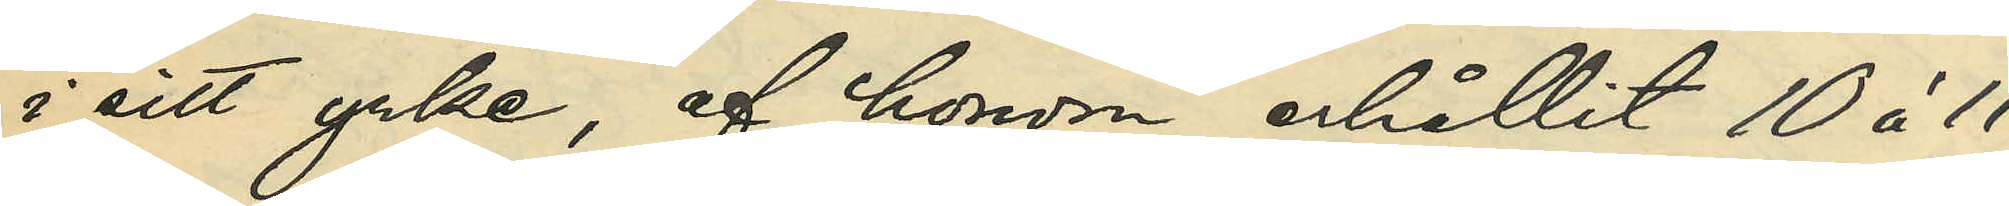i sitt yrke, af honom erhållit 10 à 11
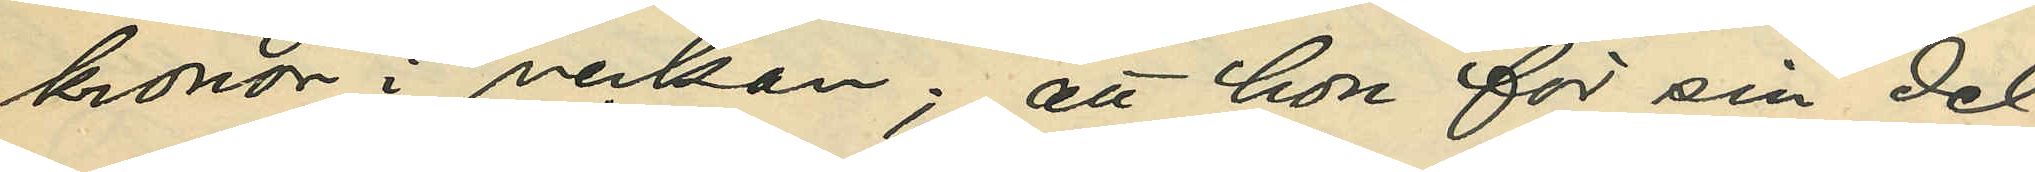kronor i veckan; att hon för sin del
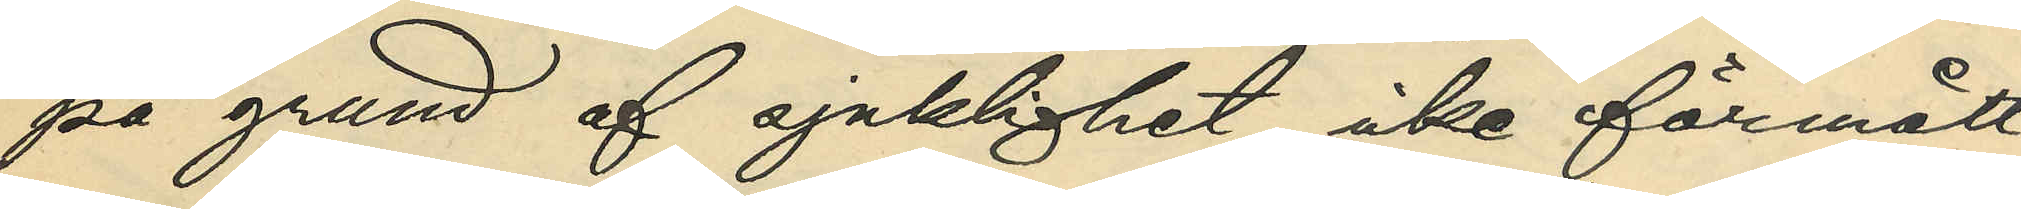på grund af sjuklighet icke förmått
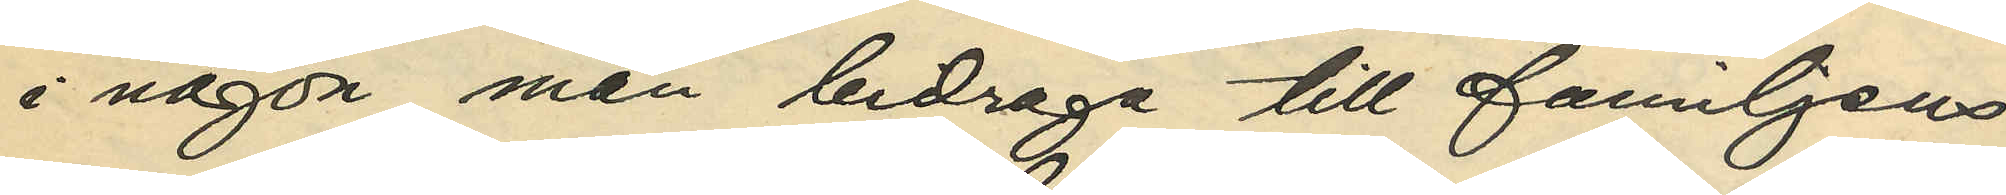i någon mån bidraga till familjens
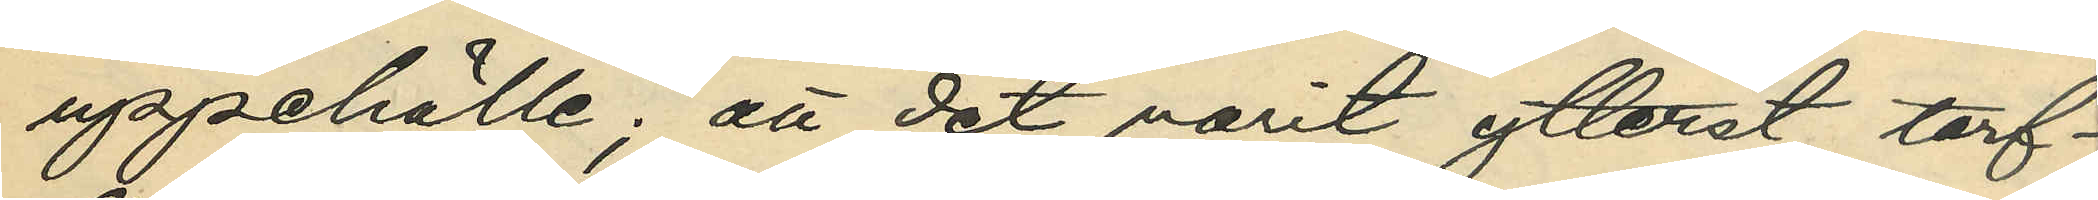uppehälle; att det varit ytterst tarf¬
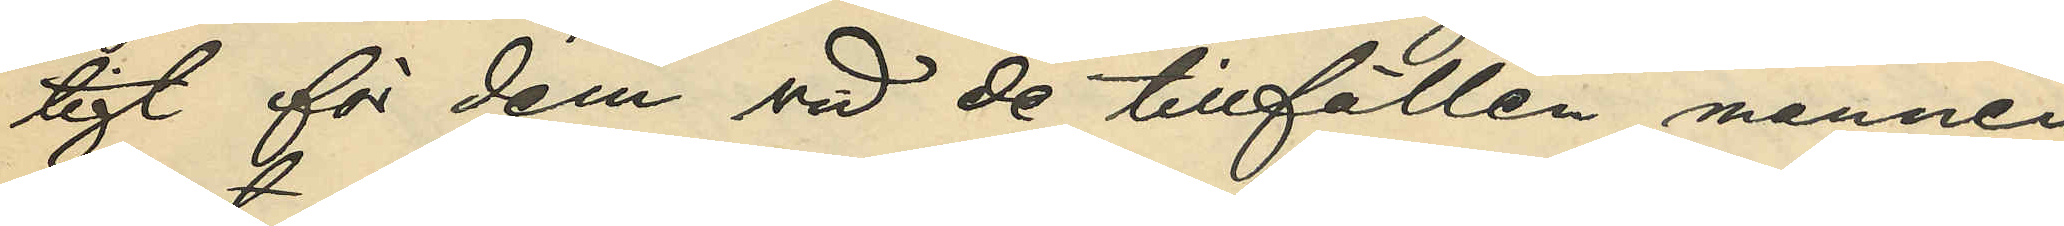ligt för dem vid de tillfällen, mannen
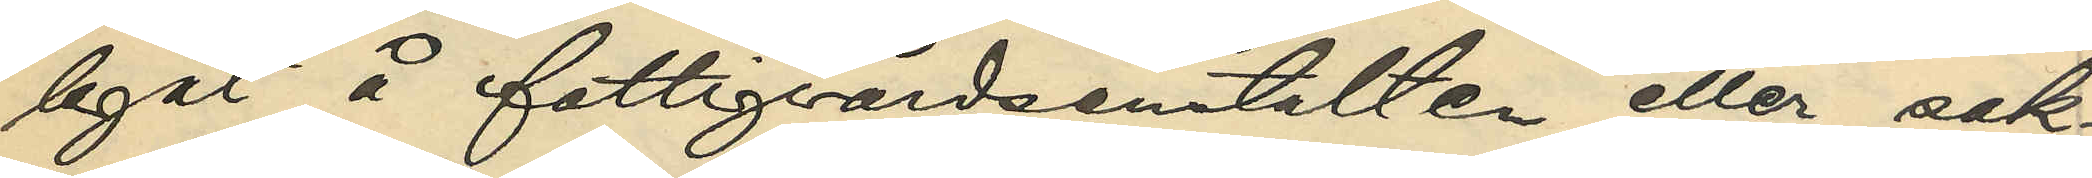legat å fattigvårdsanstalten eller sak¬
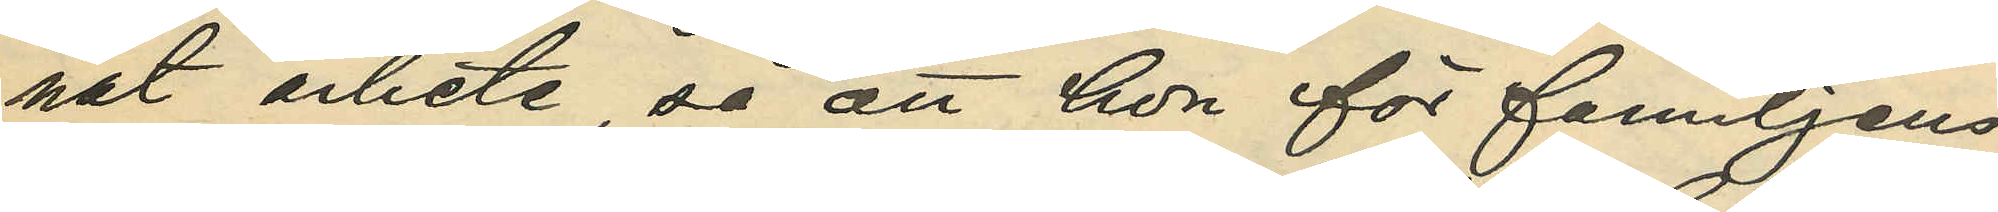nat arbete, så att hon för familjens
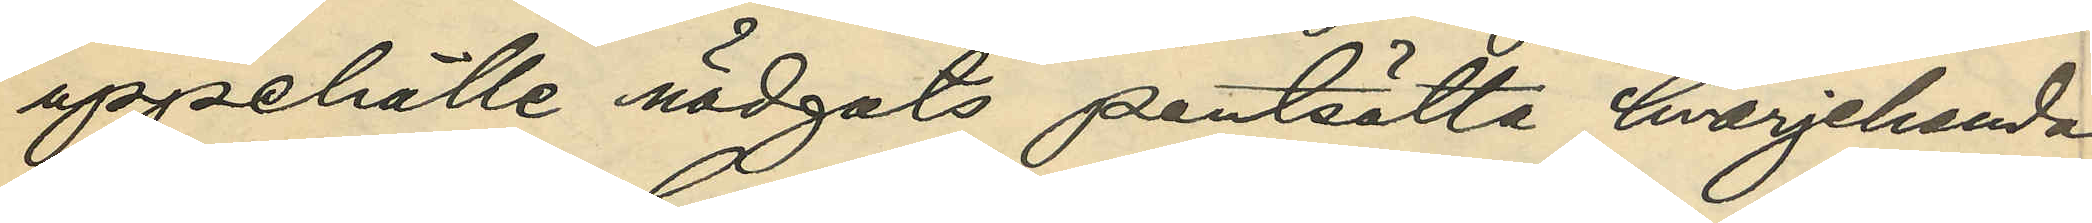uppehälle nödgats pantsätta hvarjehanda
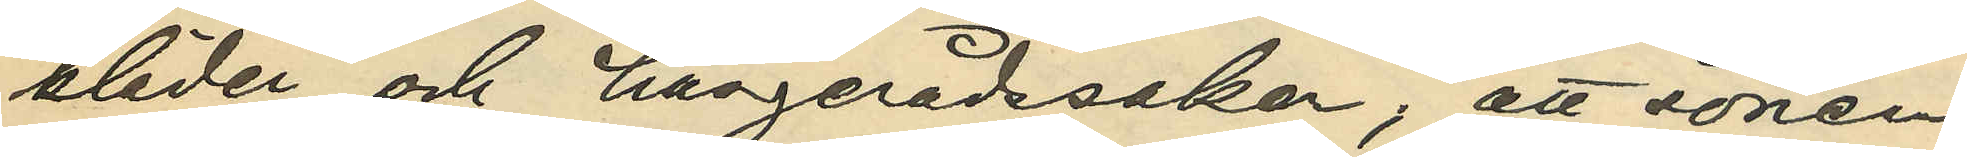kläder och husgerådssaker; att sonen
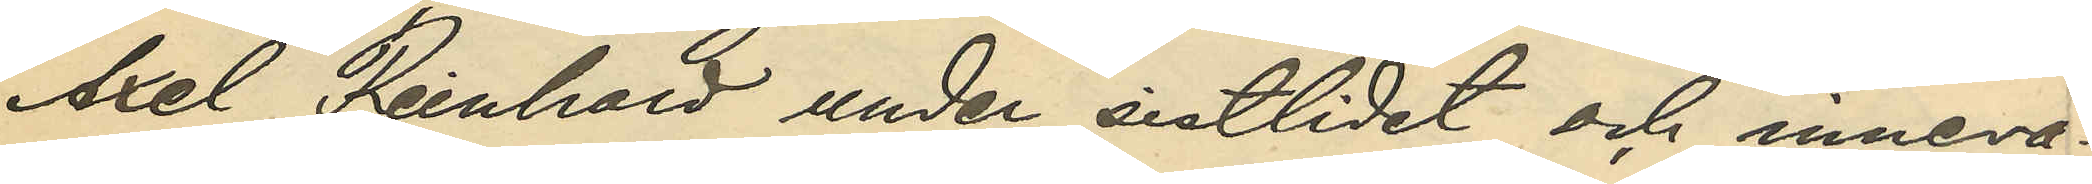Axel Reinhold under sistlidet och inneva¬
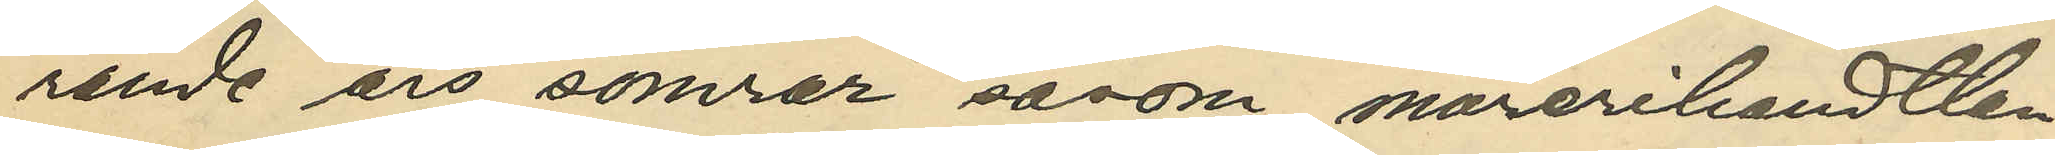rande års somrar såsom murerihandtlan¬
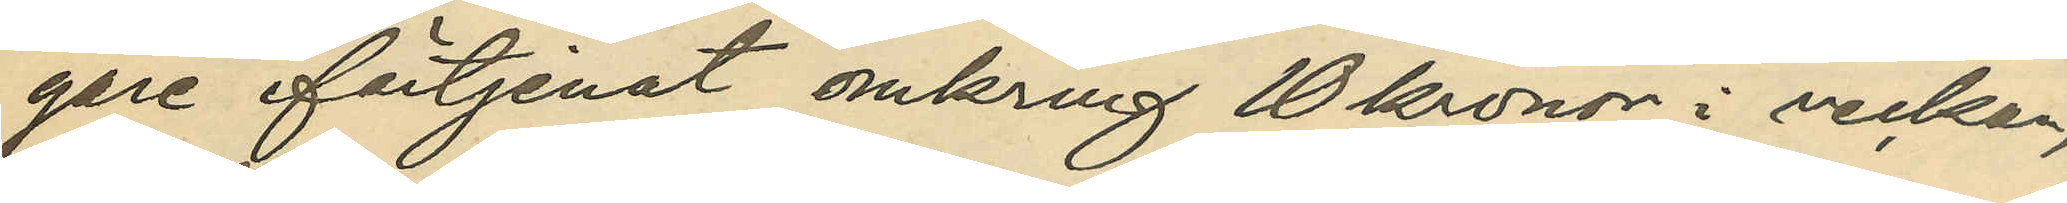gare förtjenat omkring 10 kronor i veckan,
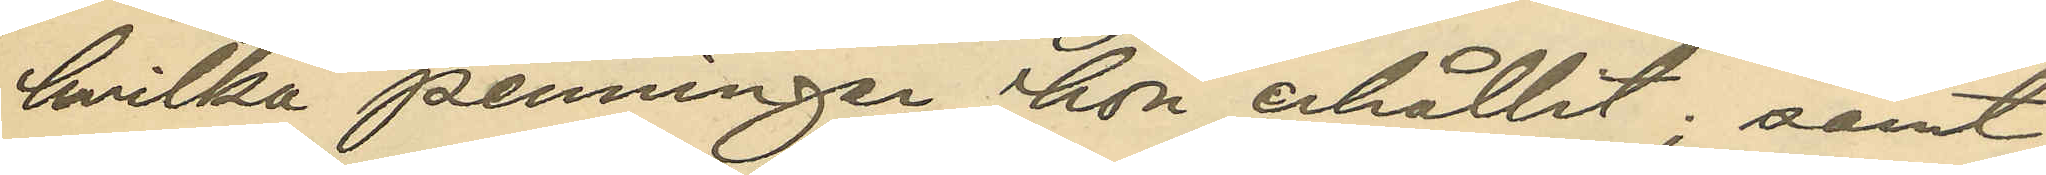hvilka penningar hon erhållit; samt
